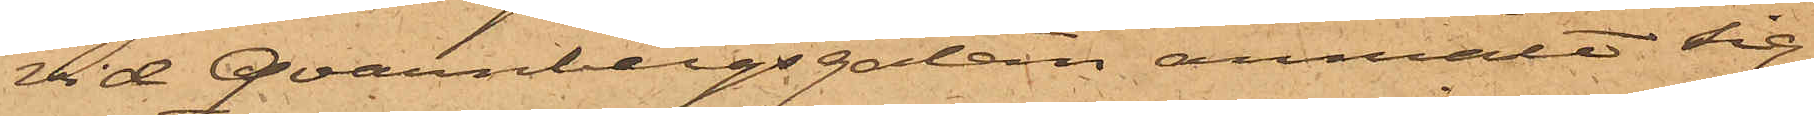vid Qvarnbergsgatan anmält sig
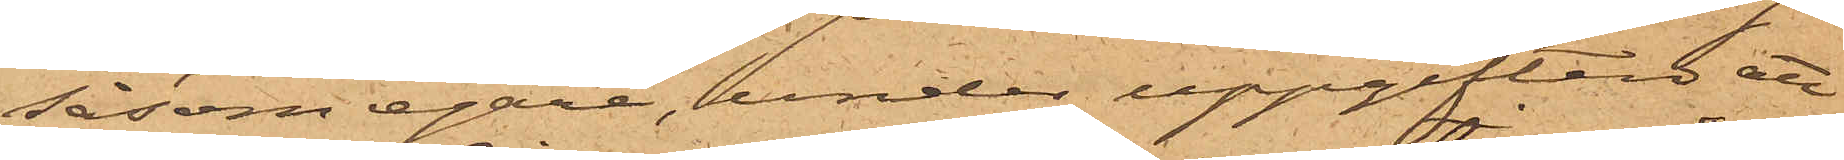såsom egare, under uppgiften att
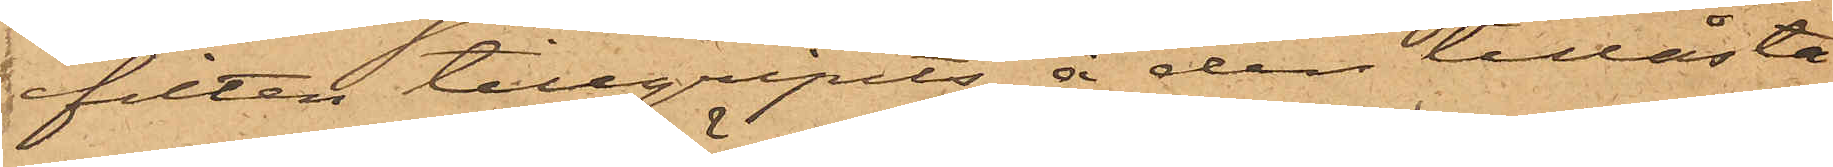filten tillgripits å den tillåsta
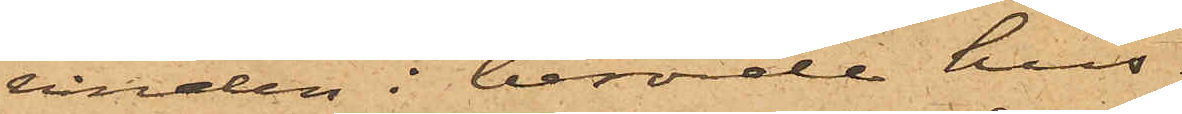vinden i berörde hus.
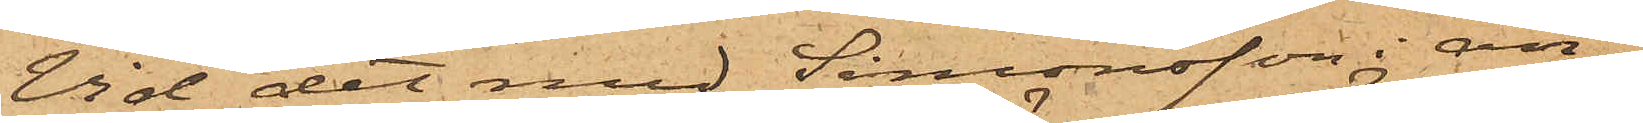Vid det med Simonsson i an¬
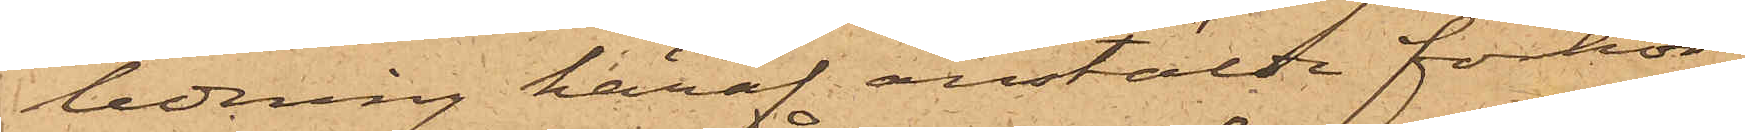ledning häraf anstälde förhör
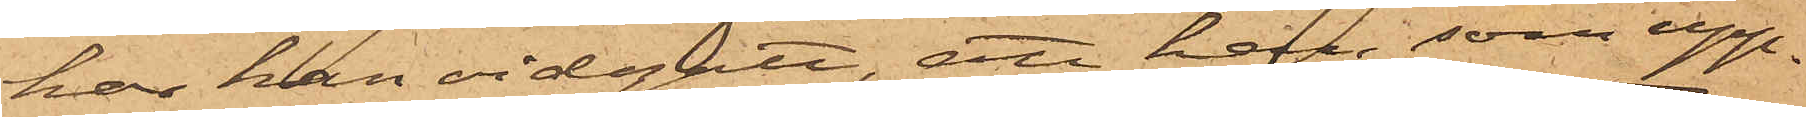har han vidgått, att han, som upp¬
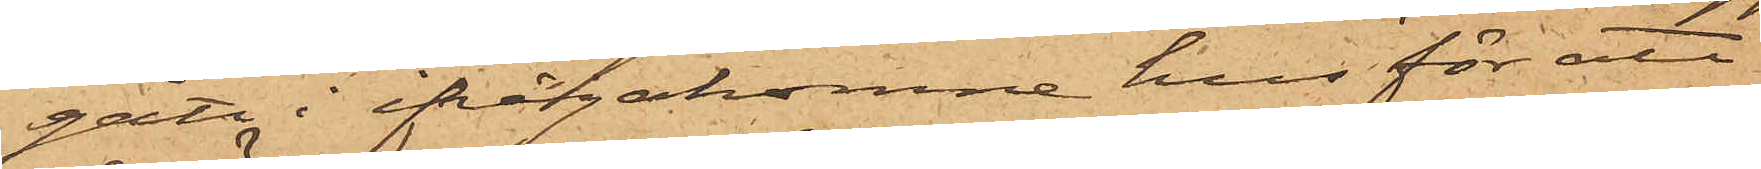gått i ifrågakomne hus för att
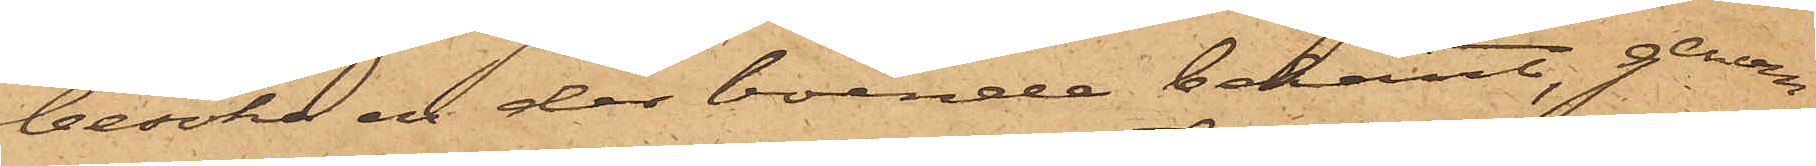besöka en der boende bekant, genom
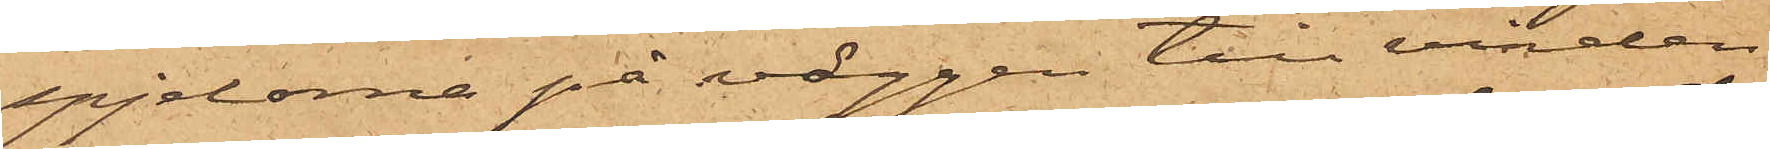spjelorna på väggen till vinden
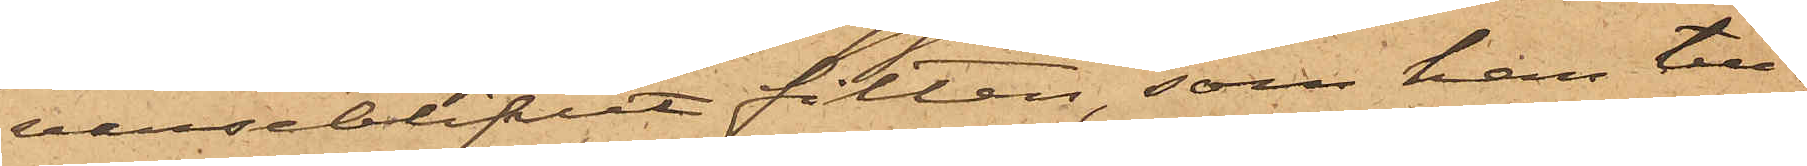varseblifvit filten, som han till¬
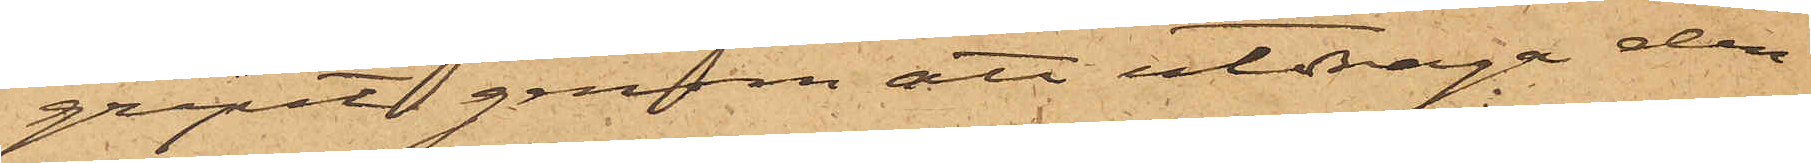gripit genom att utdraga den
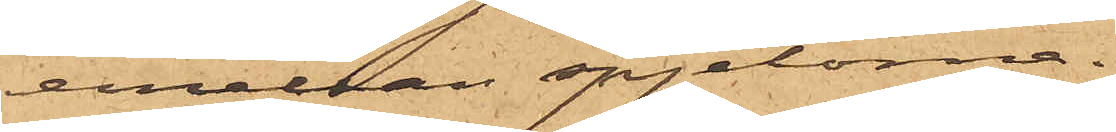emellan spjelorna.
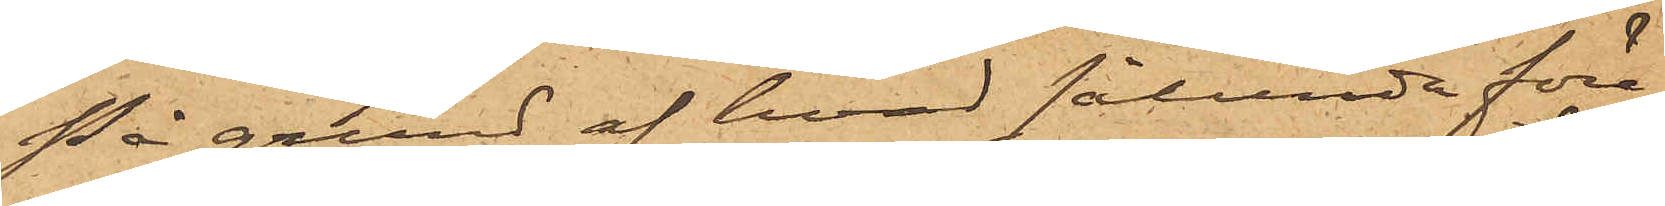På grund af hvad sålunda före¬
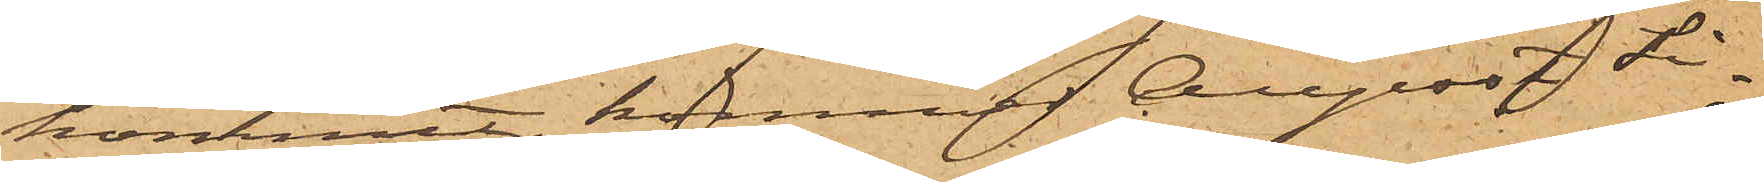kommit, kommer August Si¬
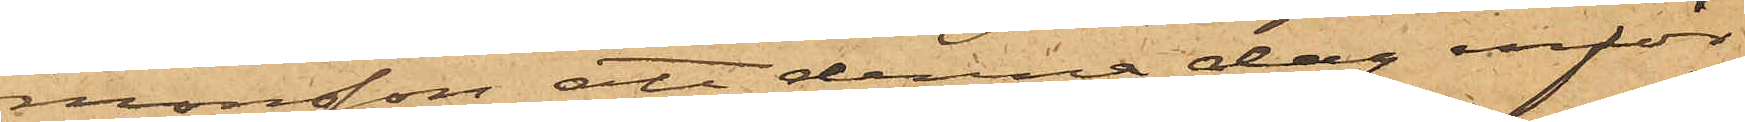monsson att denna dag inför
